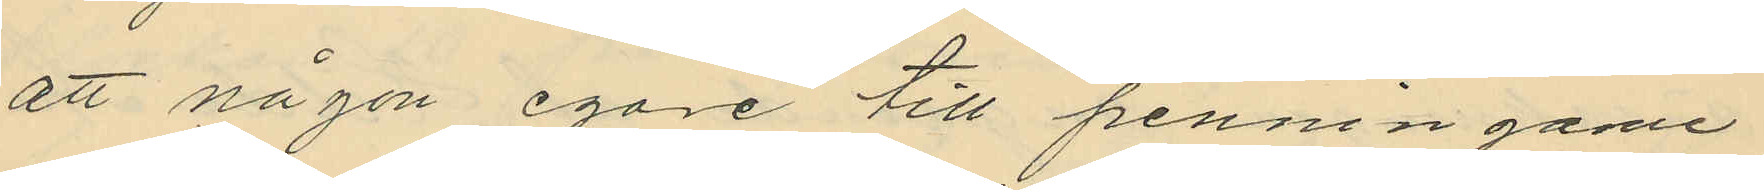att någon egare till penningane
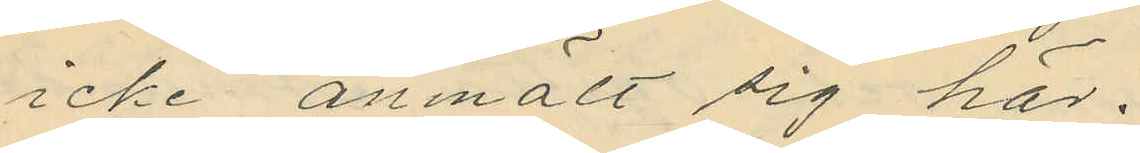icke anmält sig här.
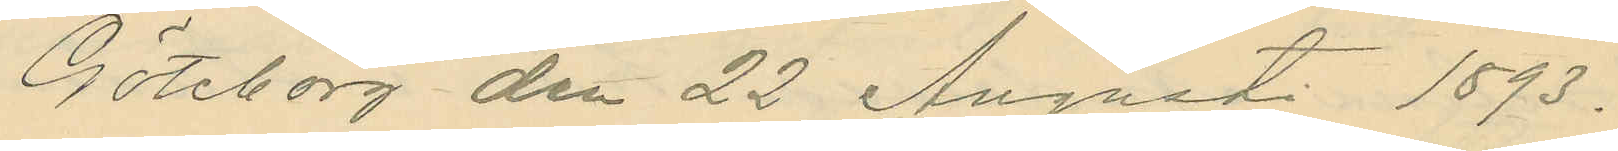Göteborg den 22 Augusti 1893.
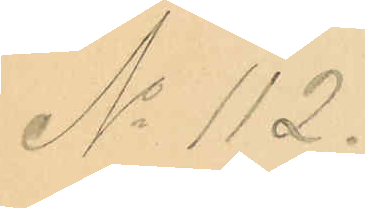No 112.
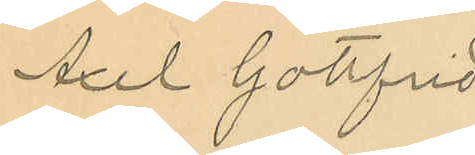Axel Gottfrid
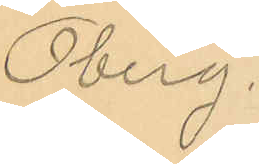Öberg.
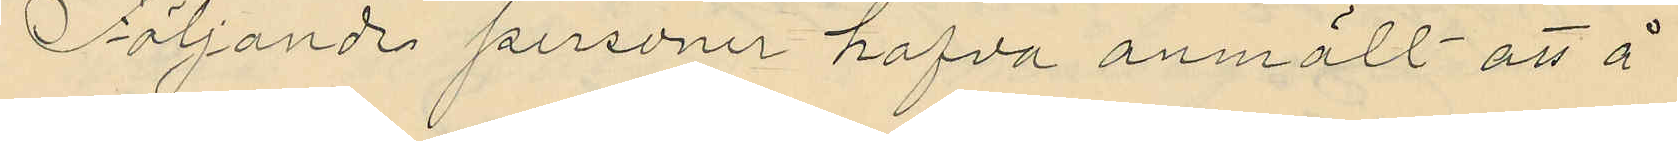Följande personer hafva anmält att å
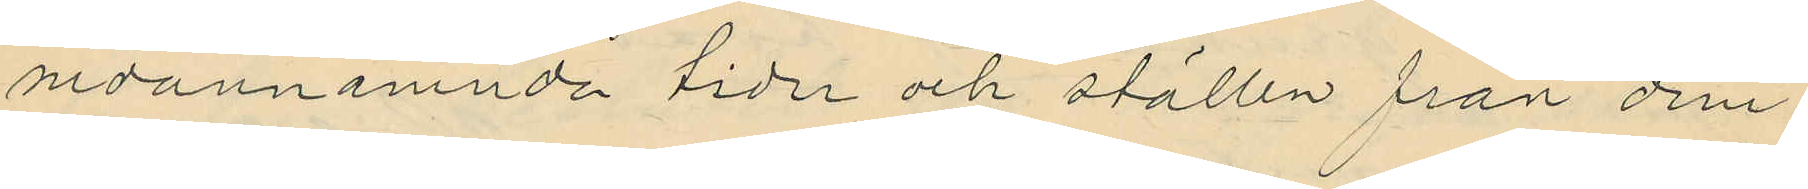ovannämnda tider och ställen från dem
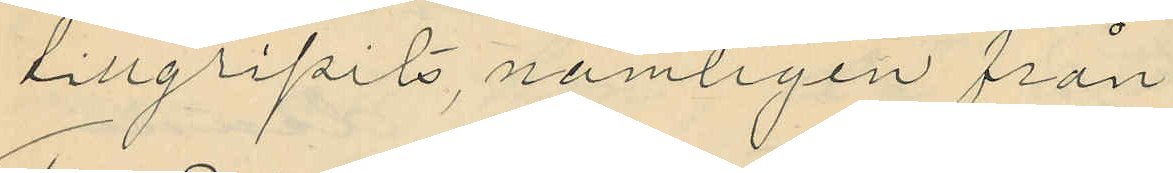tillgripits, nämligen från
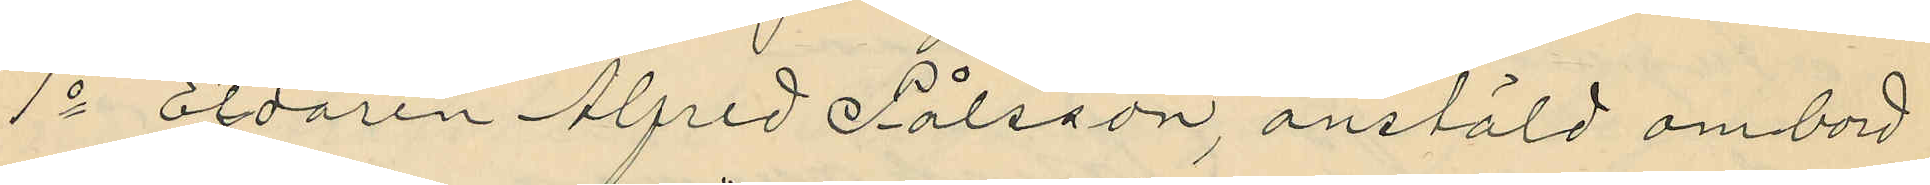1o Eldaren Alfred Pålsson, anstäld ombord
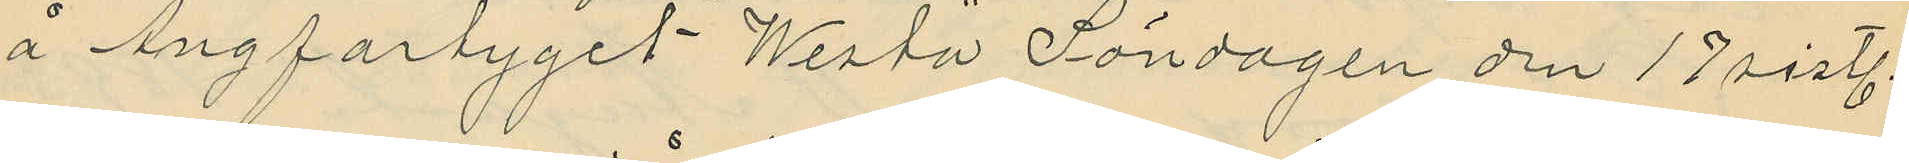å Ångfartyget "Westa" Söndagen den 17 sistl.
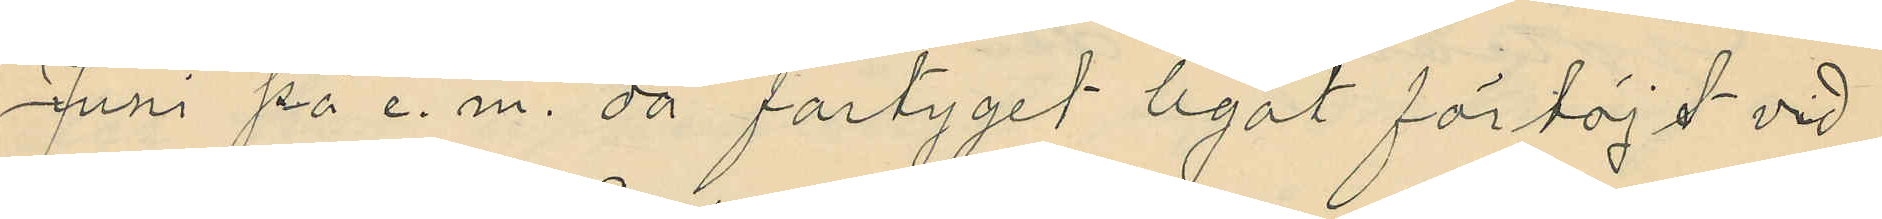Juni på e. m. då fartyget legat förtöjd vid
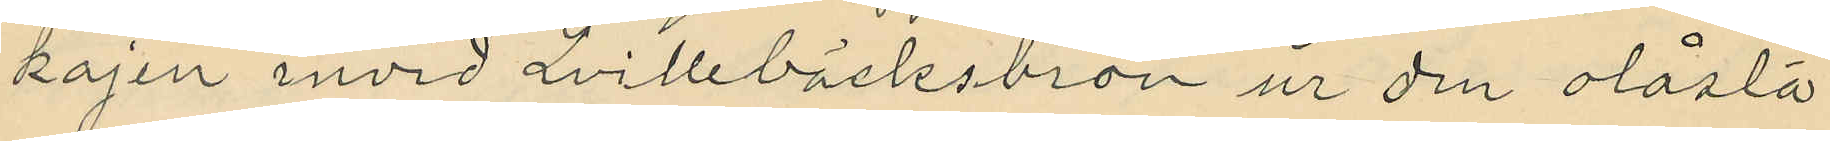kajen invid Qvillebäcksbron ur den olåsta
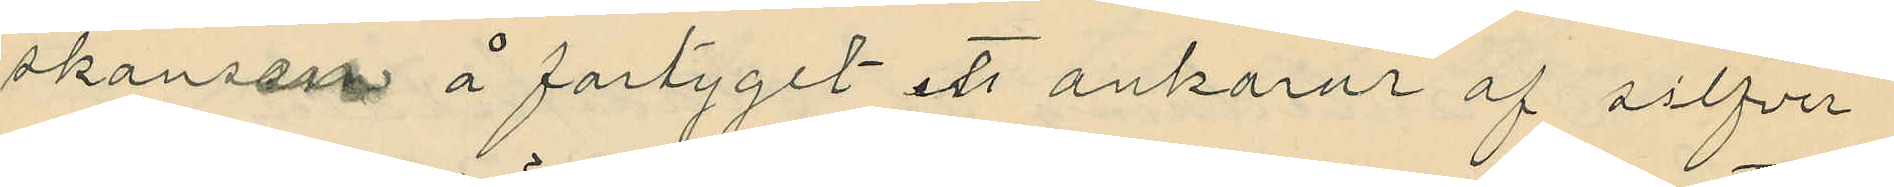skansen å fartyget ett ankarur af silfver
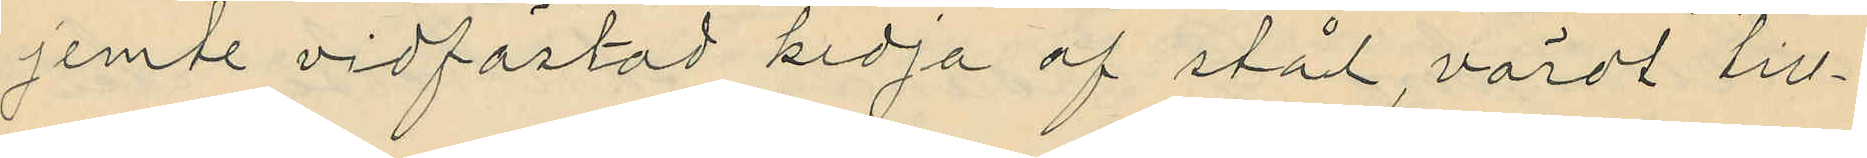jemte vidfästad kedja af stål, värdt till¬
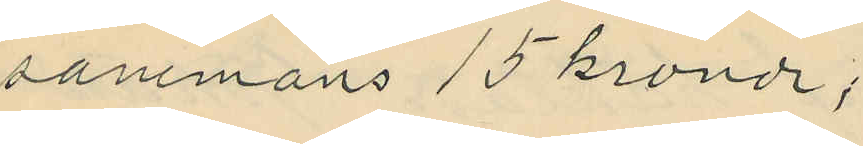sammans 15 kronor;
